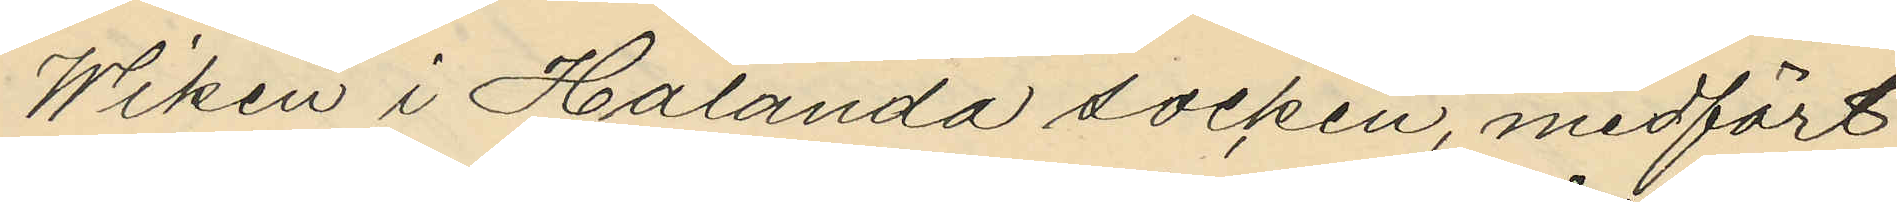Wiken i Hålanda socken, medfört
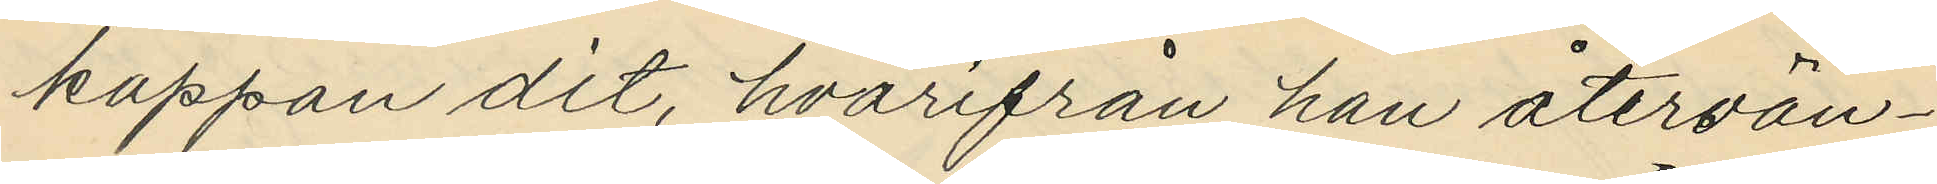kappan dit, hvarifrån han återvän¬
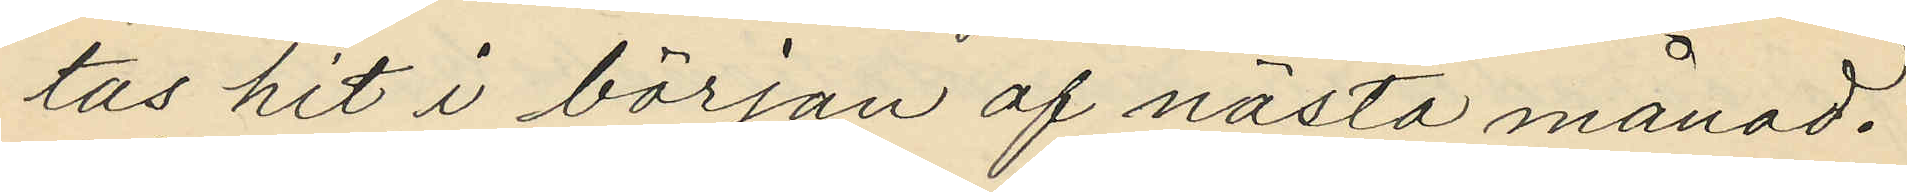tas hit i början af nåsta månad.
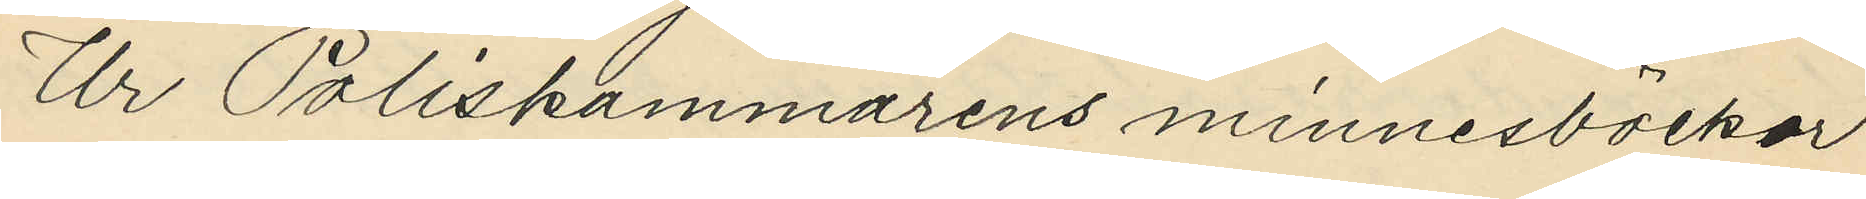Ur Poliskammarens minnesböckor
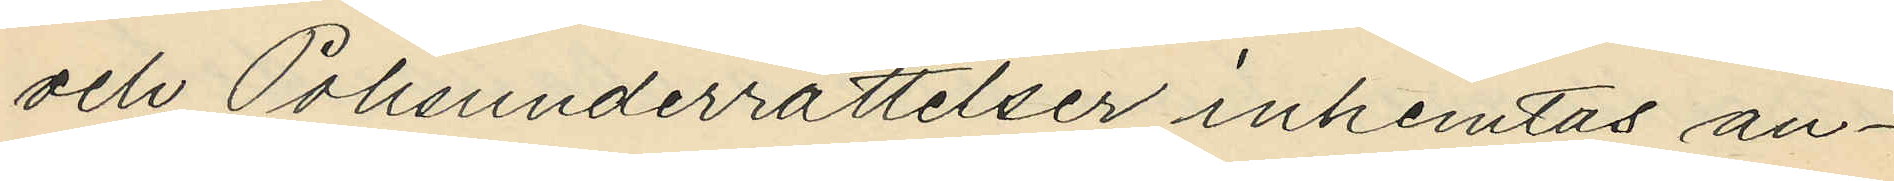och Polisunderrättelser inhemtas an¬
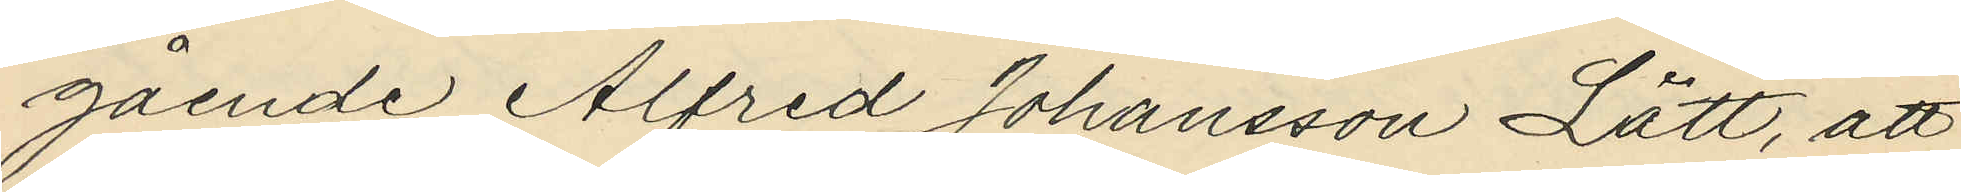gående Alfred Johansson Lätt, att
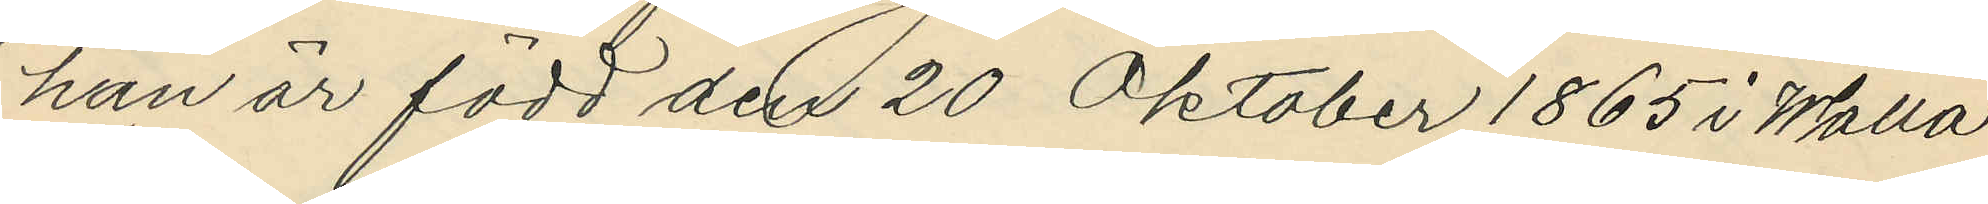han är född den 20 Oktober 1865 i Walla
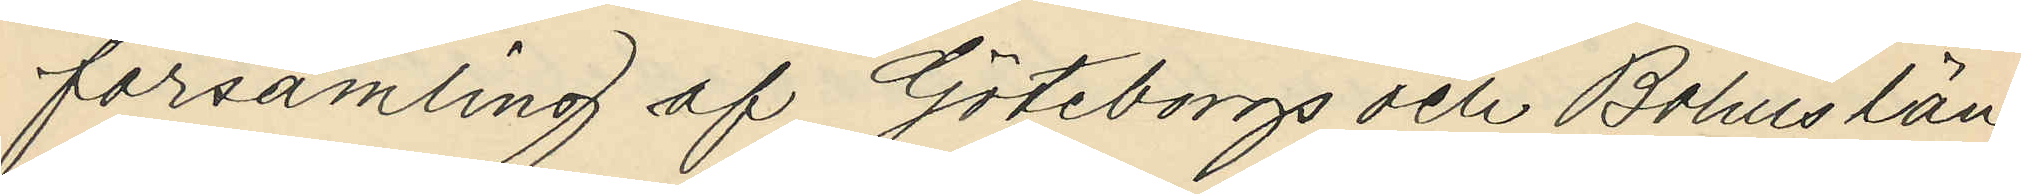församling af Göteborgs och Bohus län;
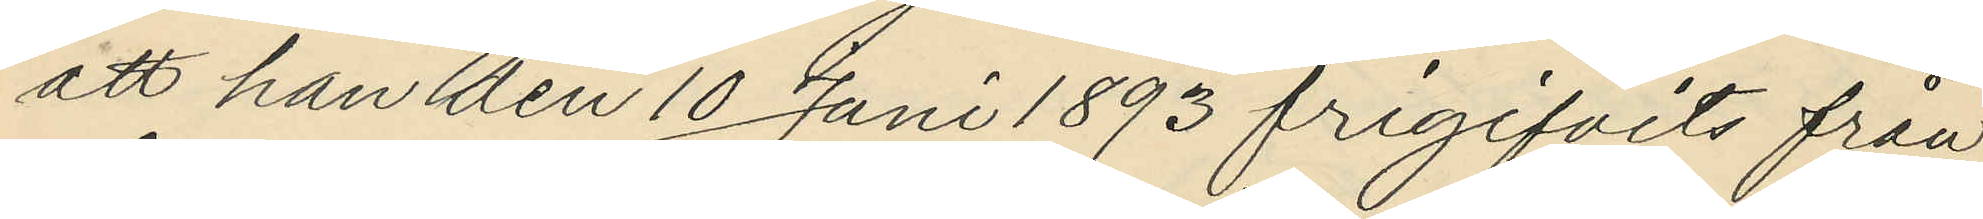att han den 10 Juni 1893 frigifvits från
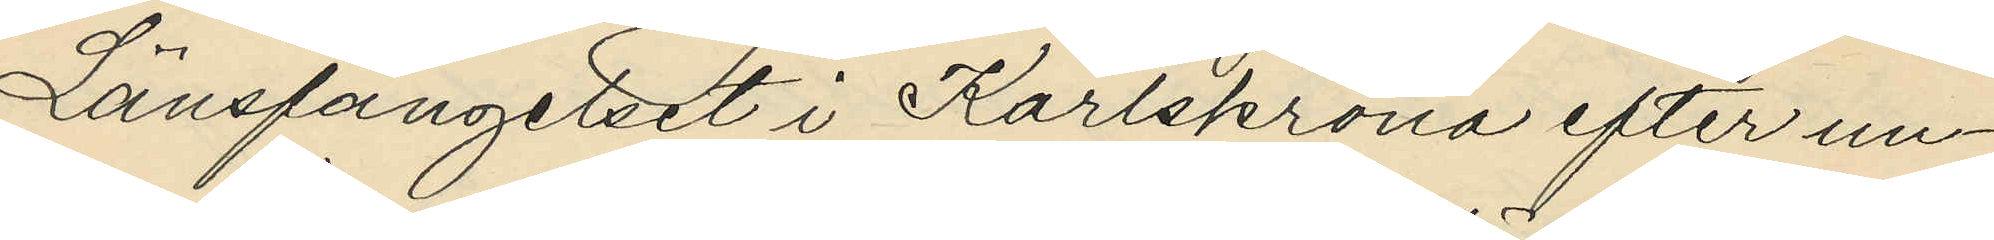Länsfängelset i Karlskrona efter un¬
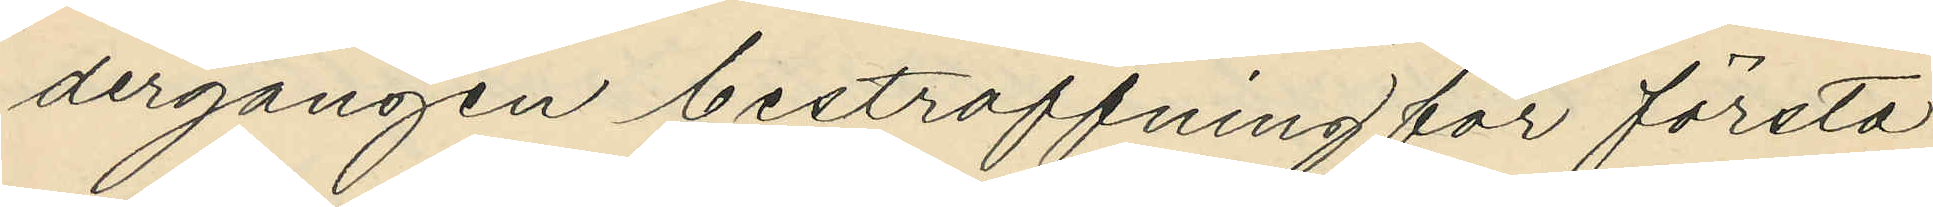dergången bestraffning för första
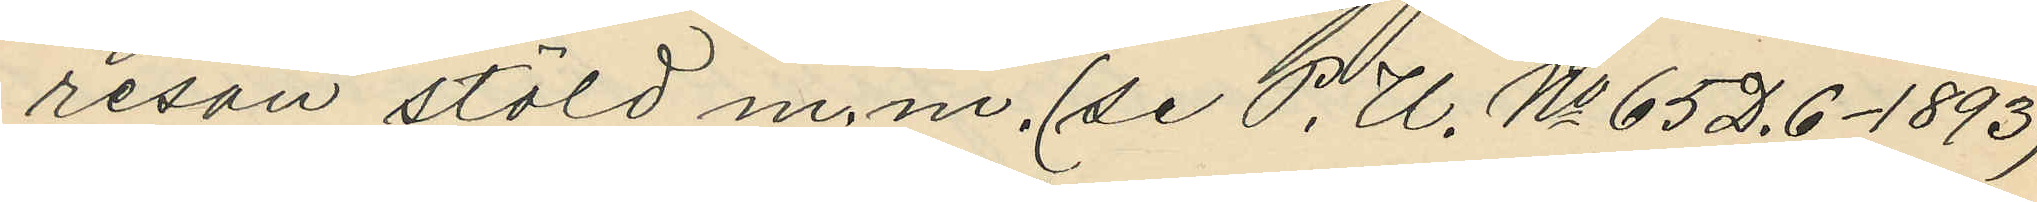resan stöld m.m. (se P. U. No 65 D.6 - 1893)
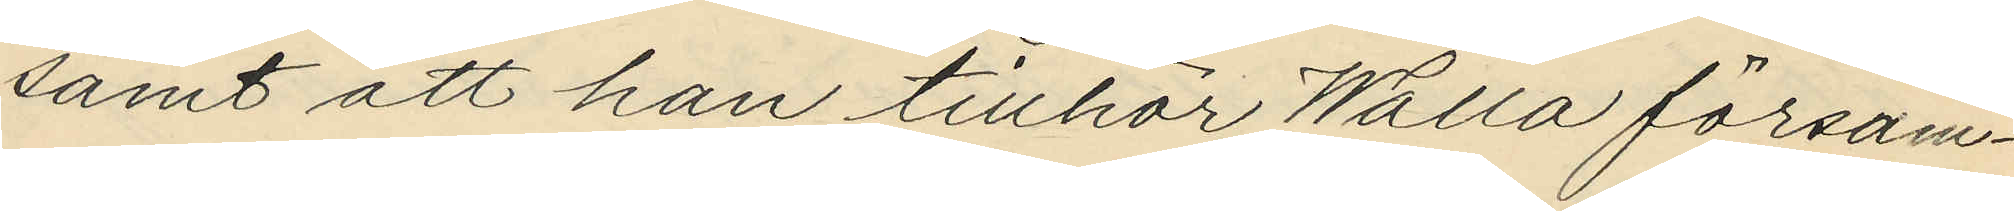samt att han tillhör Walla försam¬
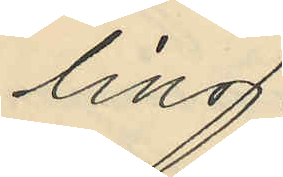ling.
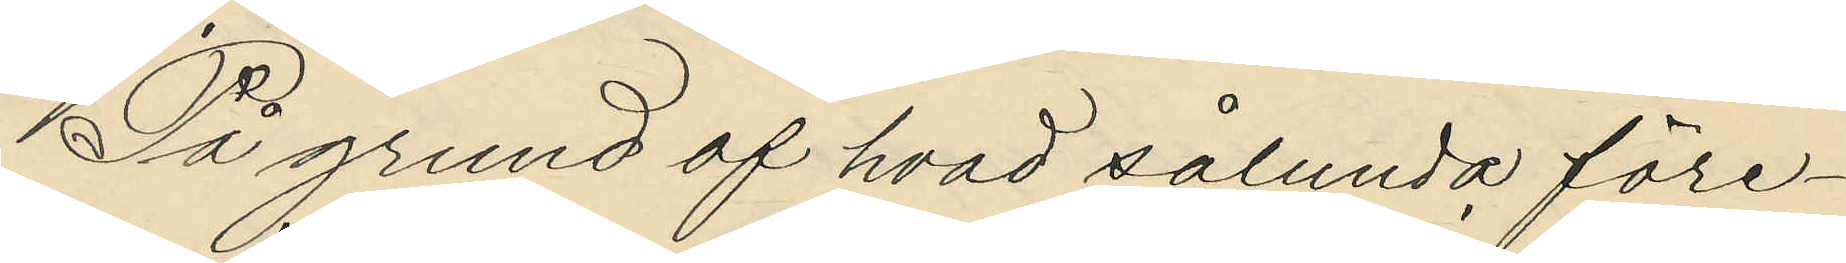På grund af hvad sålunda före¬
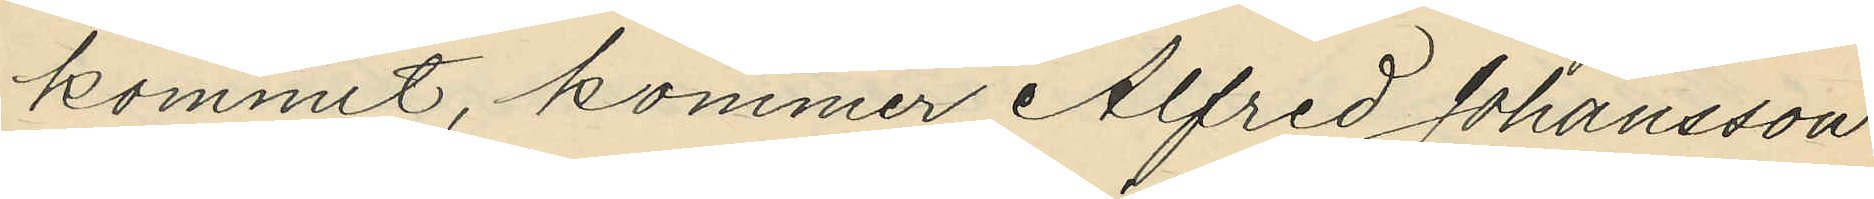kommit, kommer Alfred Johansson
